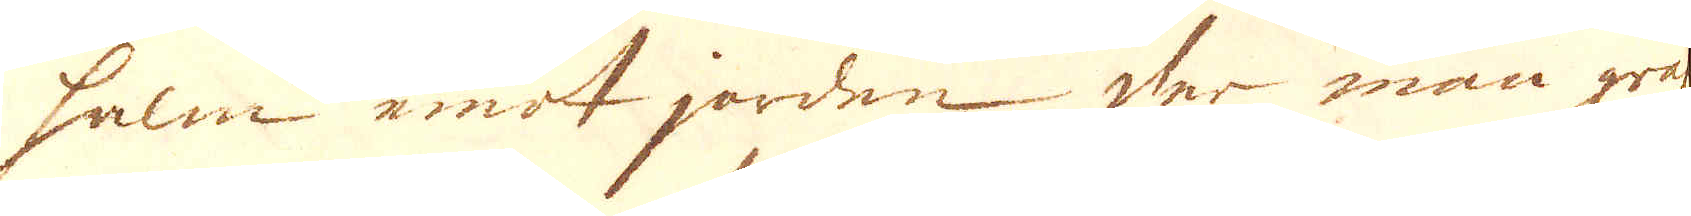halm emot jorden der man gräf-
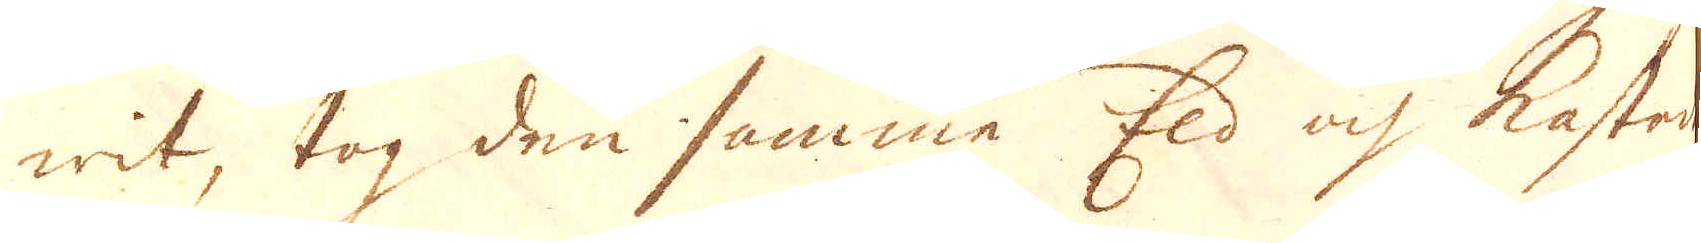wit, tog den samma Eld och kastade
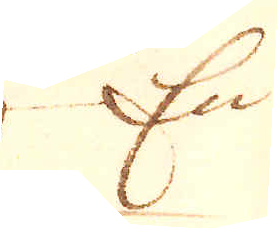En
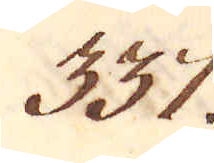337.
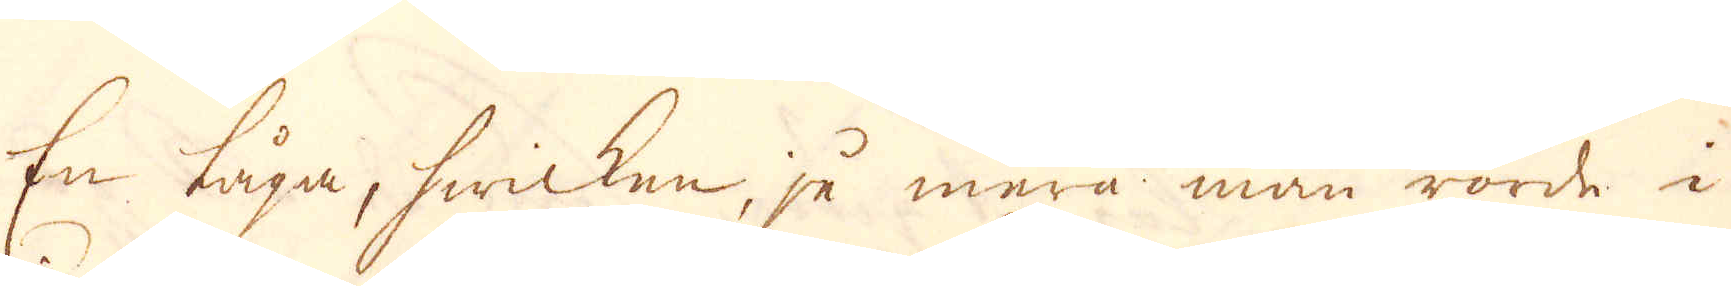En låga, hwicken, ju mera man rörde i
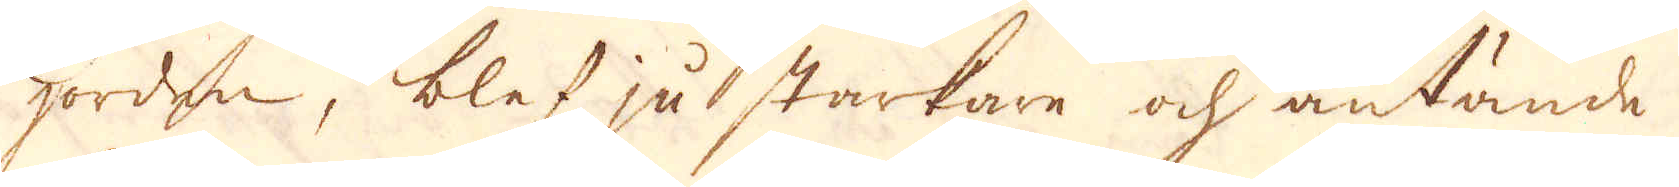jorden, blef ju starkare och antände
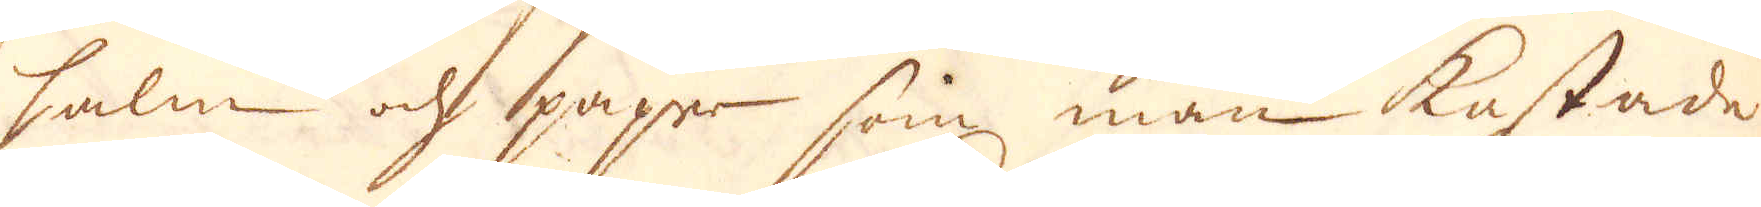halm och paper som man kastade
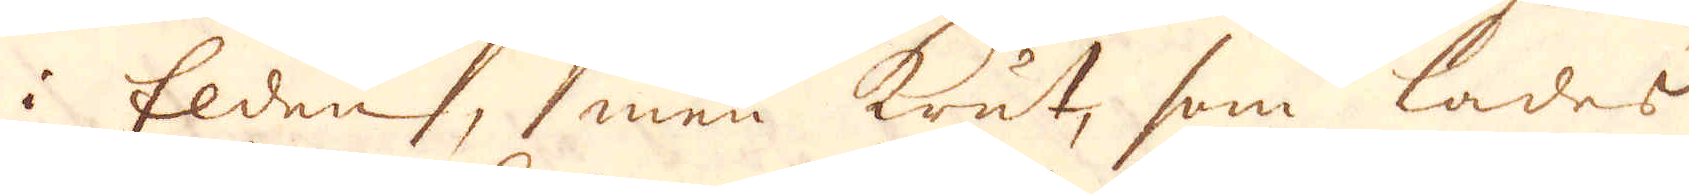i Elden, men Krut, som lades
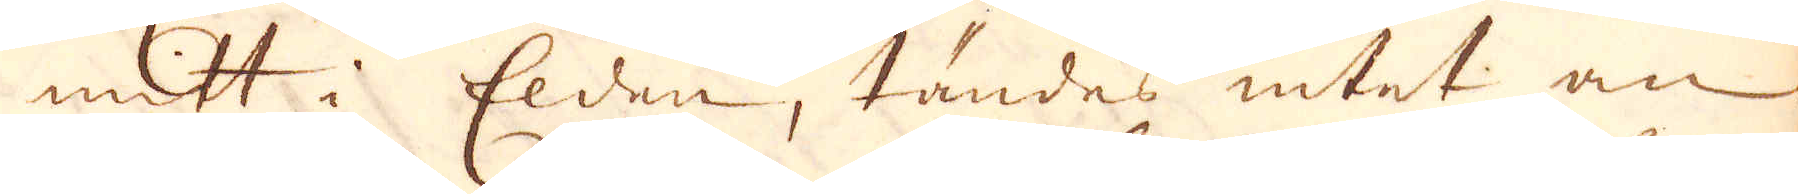mitt i Elden, tändes intet an.
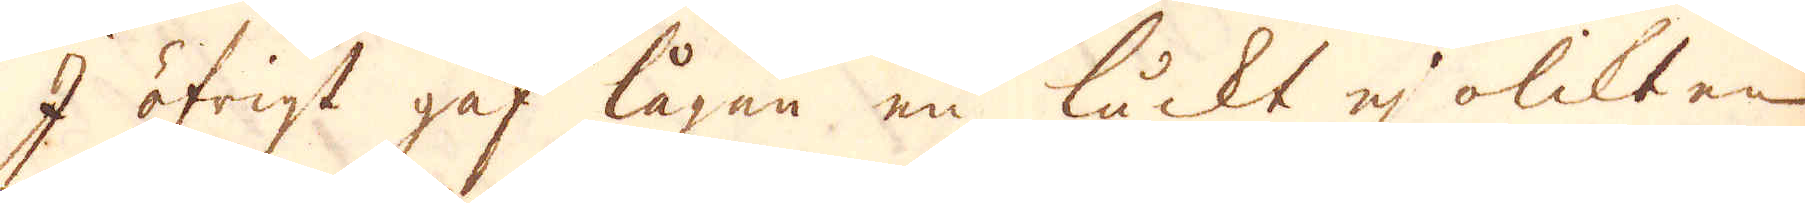I öfrigt gaf lågan en luckt ej olikt en
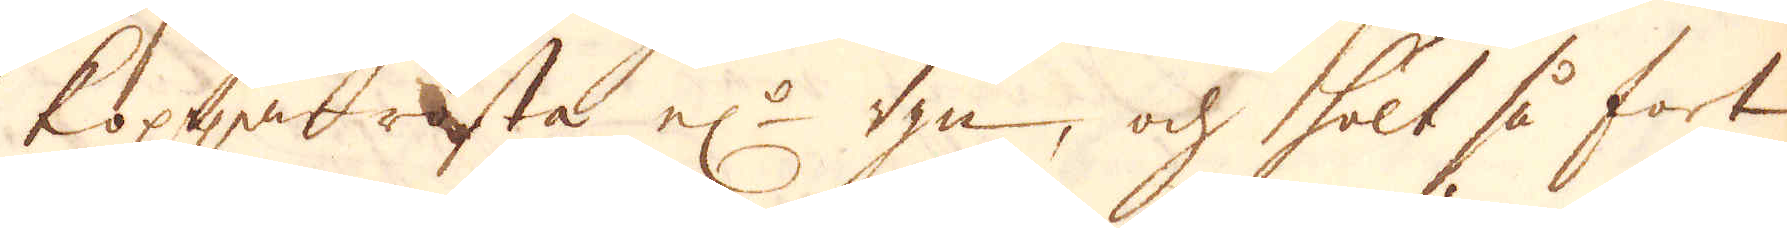koppar rosta el:r ugn, och hölt så fort-
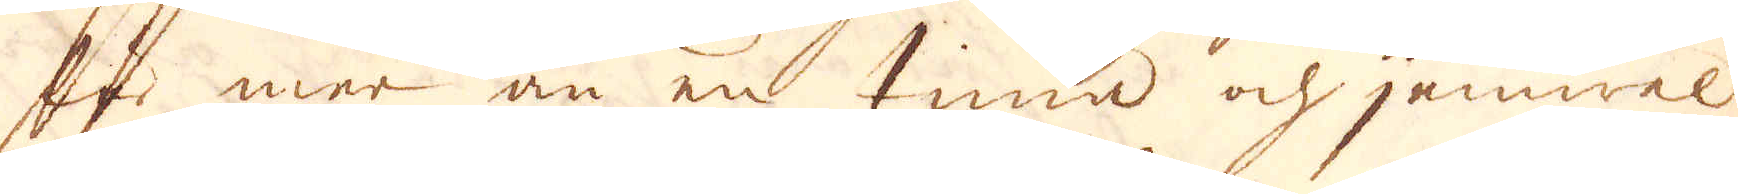far mer än en tima och jemwel
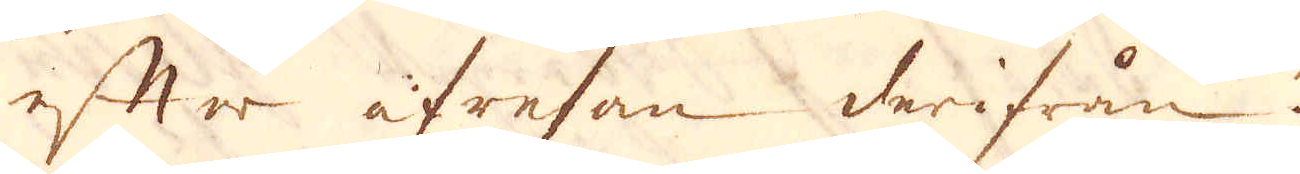efter afresan derifrån.
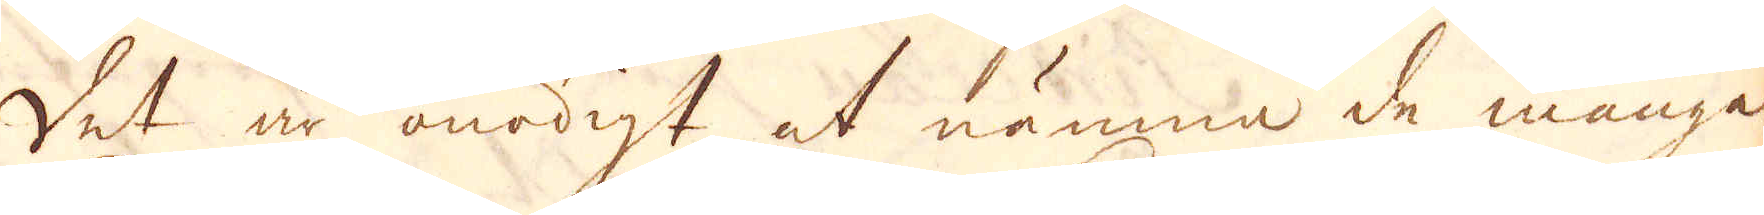Det är onödigt ut nämna de många
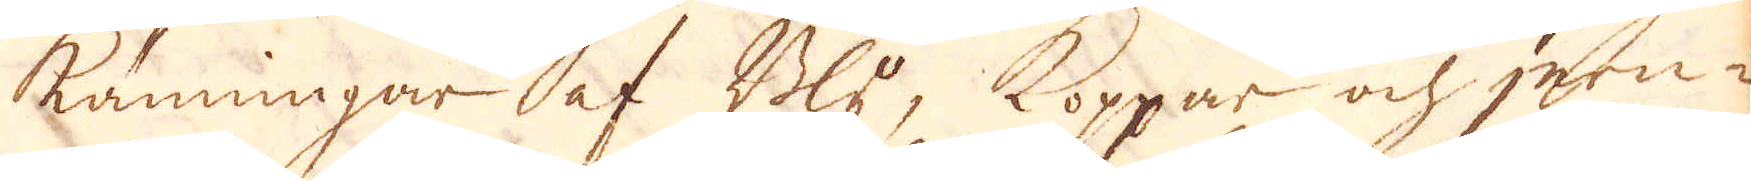känningar af Bly, Koppar och jern-
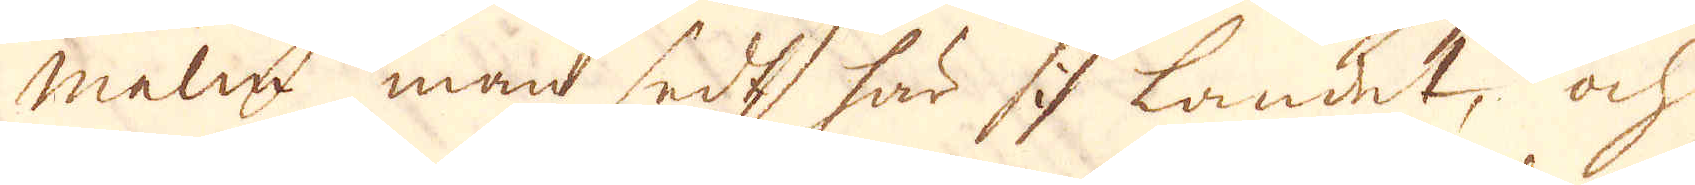malm man sedt här i landet, och
